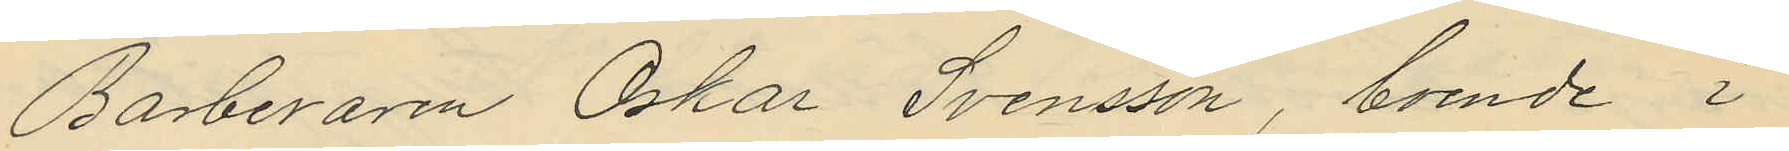Barberaren Oskar Svensson, boende i
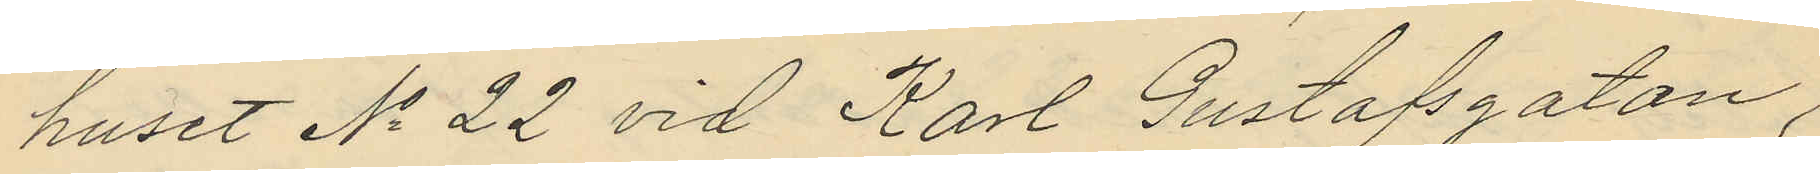huset No 22 vid Karl Gustafsgatan,
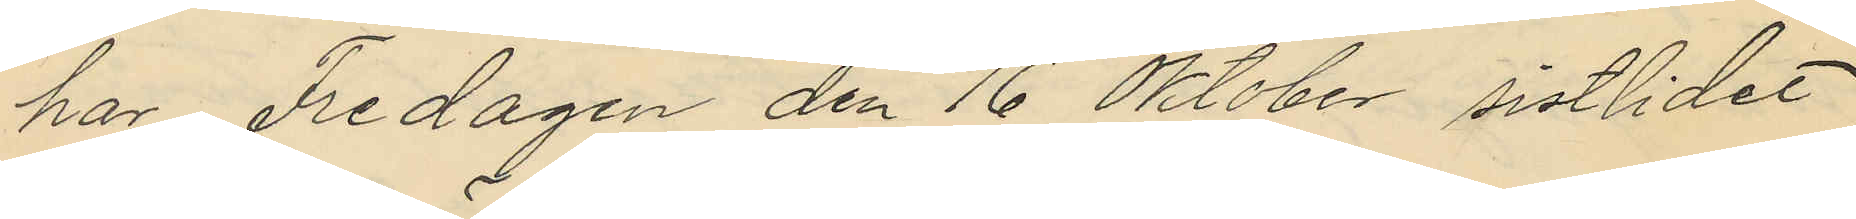har Fredagen den 16 Oktober sistlidet
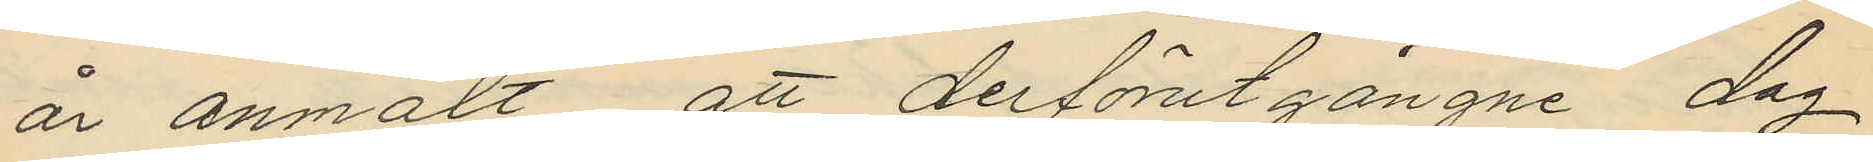år anmält att derförutgångne dag
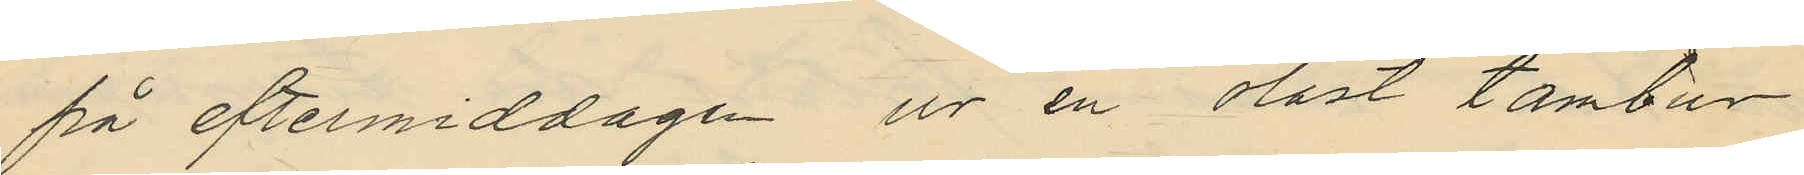på eftermiddagen ur en olåst tambur
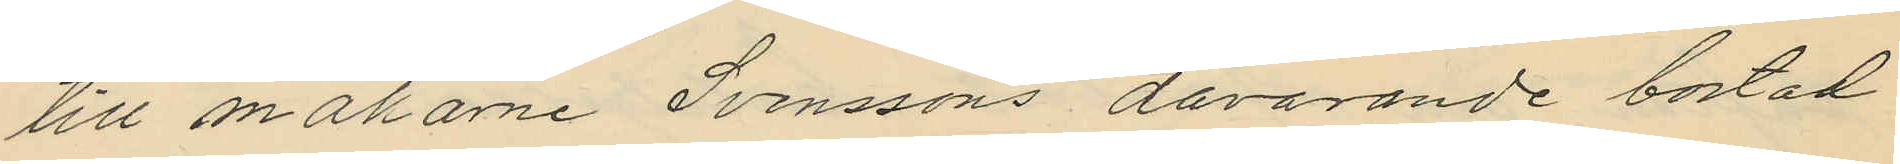till makarne Svenssons dåvarande bostad
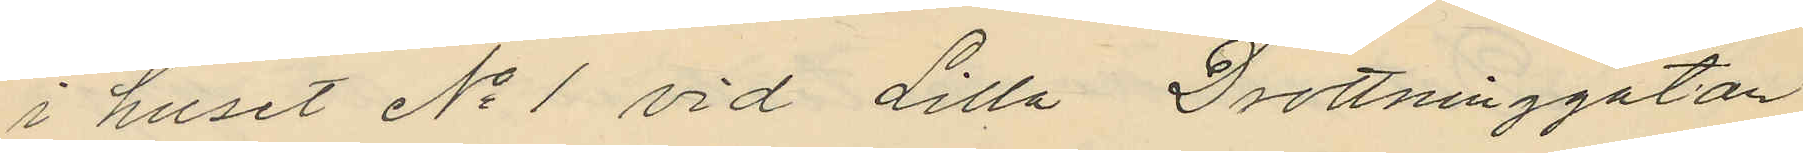i huset No 1 vid Lilla Drottninggatan
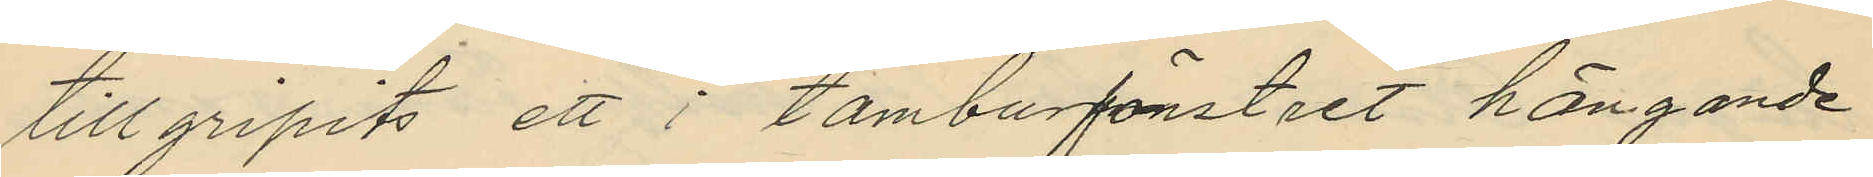tillgripits ett i tamburfönstret hängande
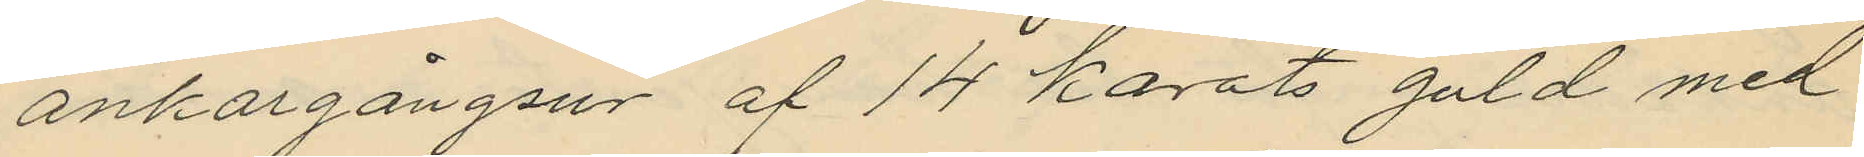ankargångsur af 14 karats guld med
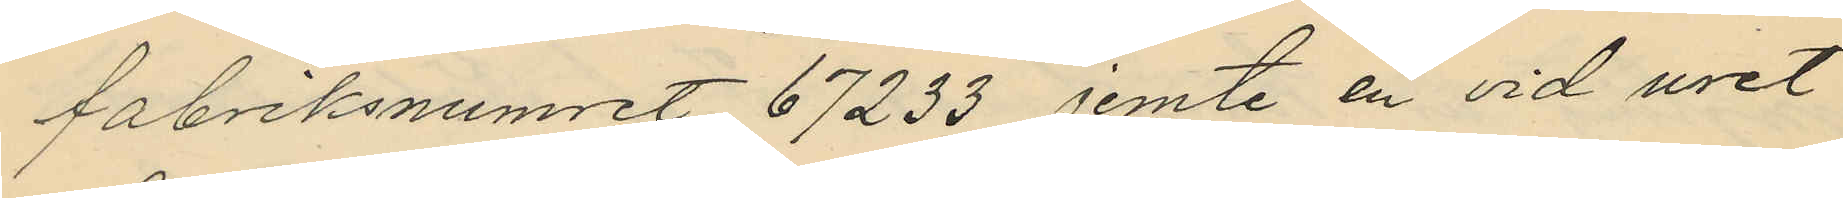fabriksnumret 67233 jemte en vid uret
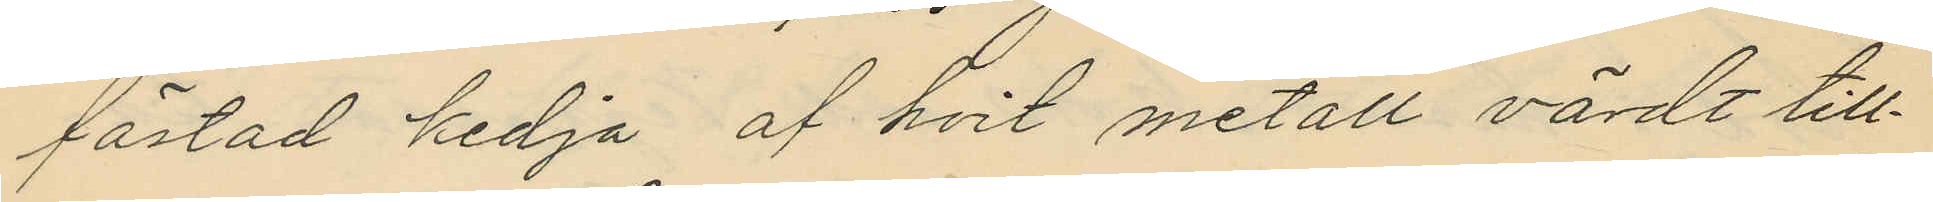fästad kedja af hvit metall, värdt till¬
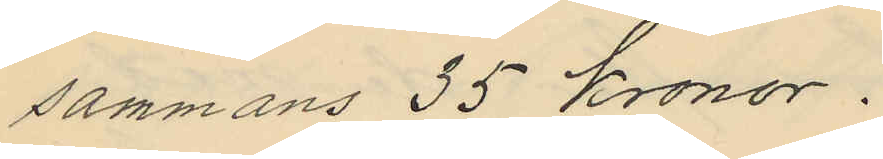sammans 35 kronor.
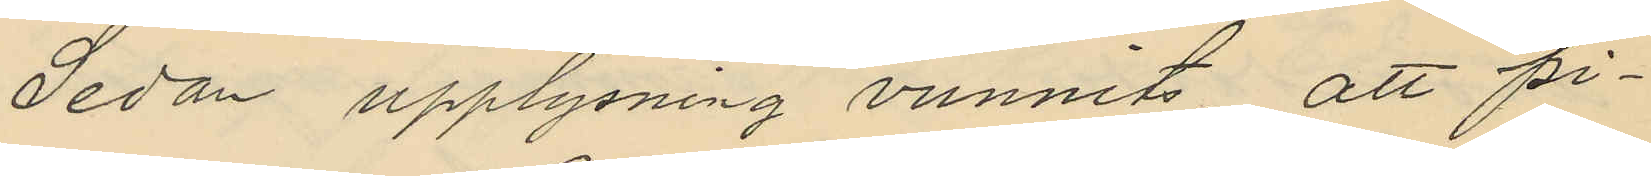Sedan upplysning vunnits, att pi¬
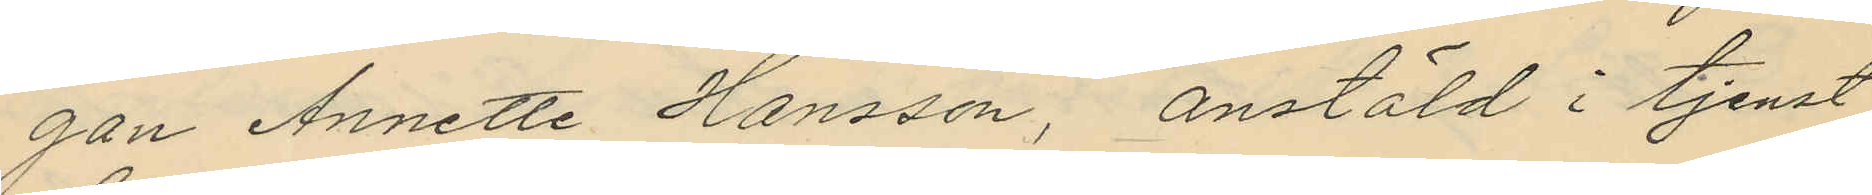gan Annette Hansson, anstäld i tjenst
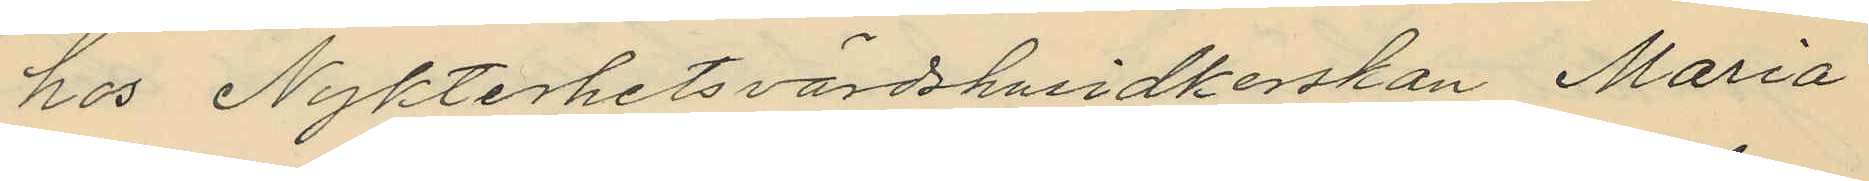hos Nykterhetsvärdshusidkerskan Maria
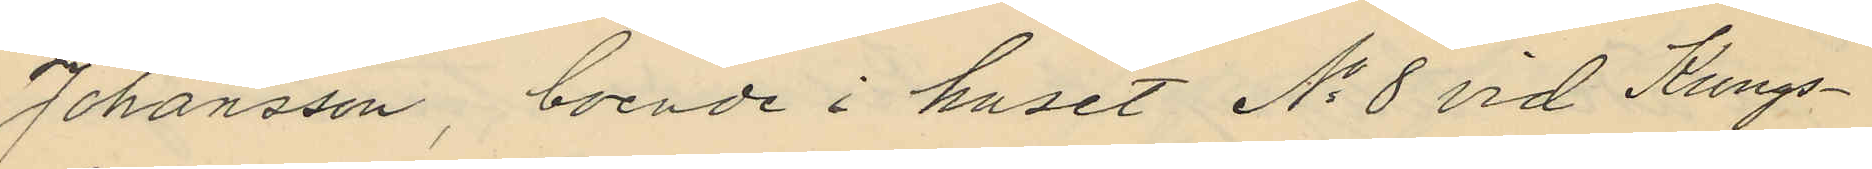Johansson, boende i huset No 8 vid Kungs¬
